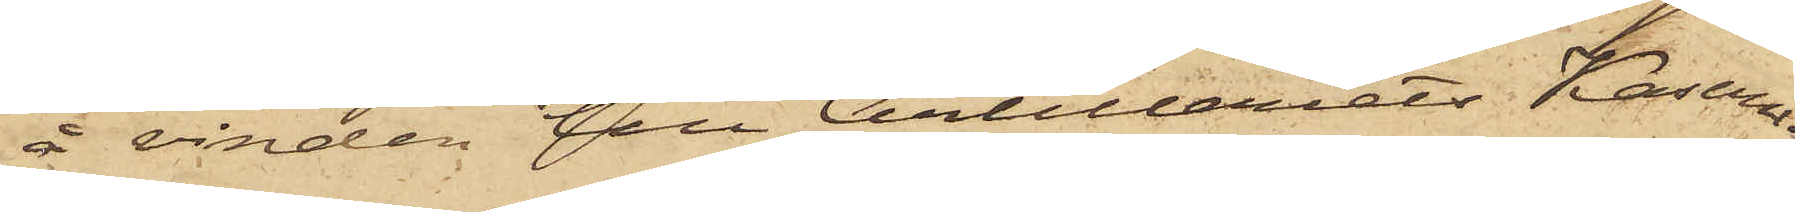å vinden till Artilleriets Kasern.
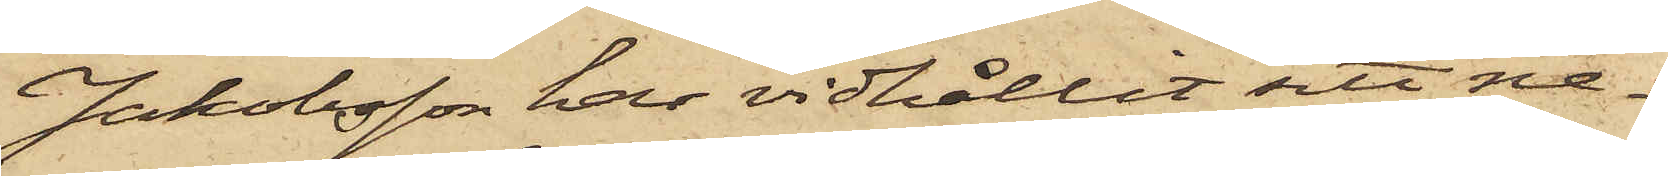Jakobsson har vidhållit sitt ne¬
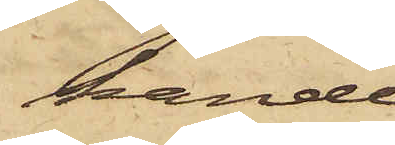kande
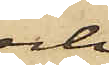och
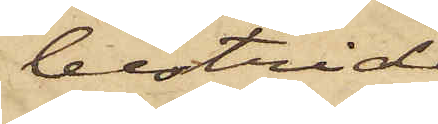bestridt
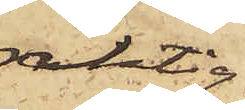riktig¬
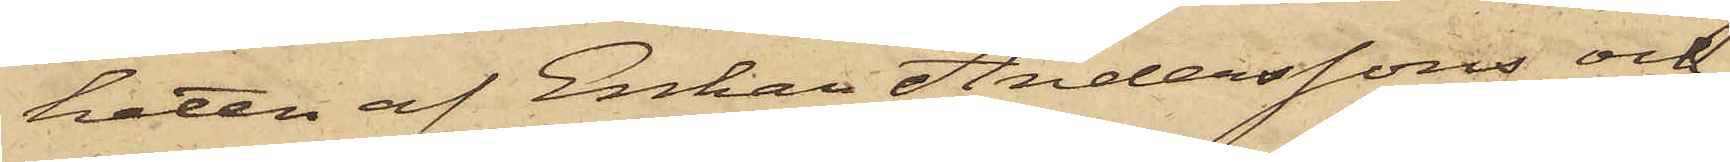heten af Enkan Anderssons och
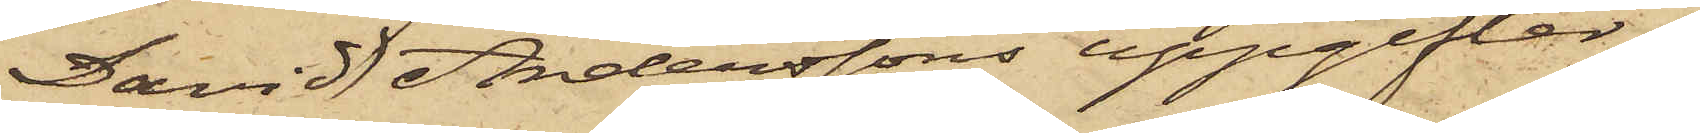David Anderssons uppgifter.
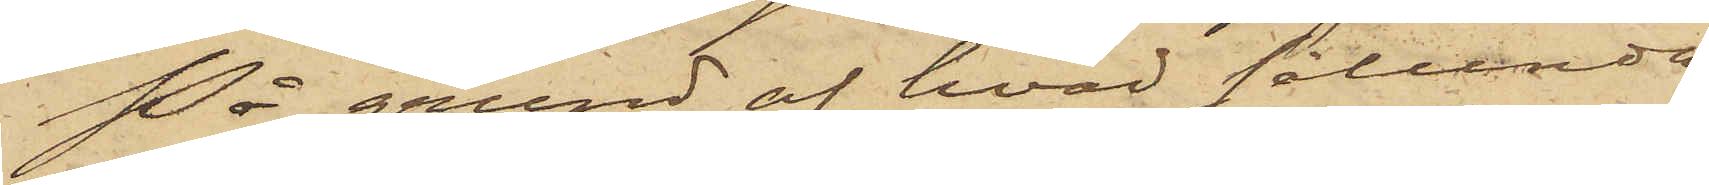På grund af hvad sålunda
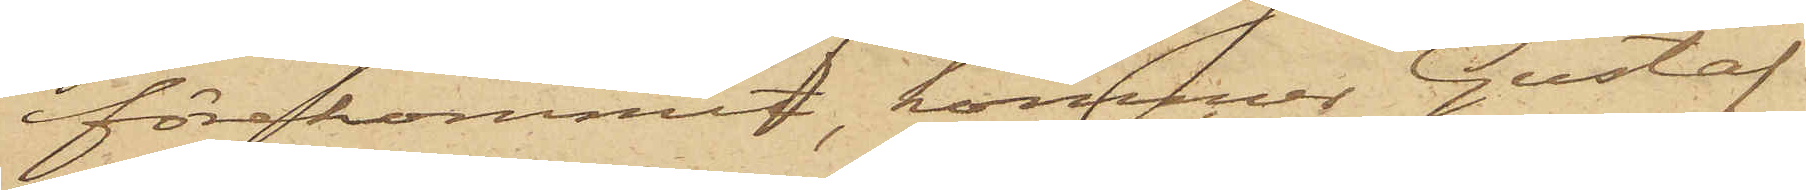förekommit, kommer Gustaf
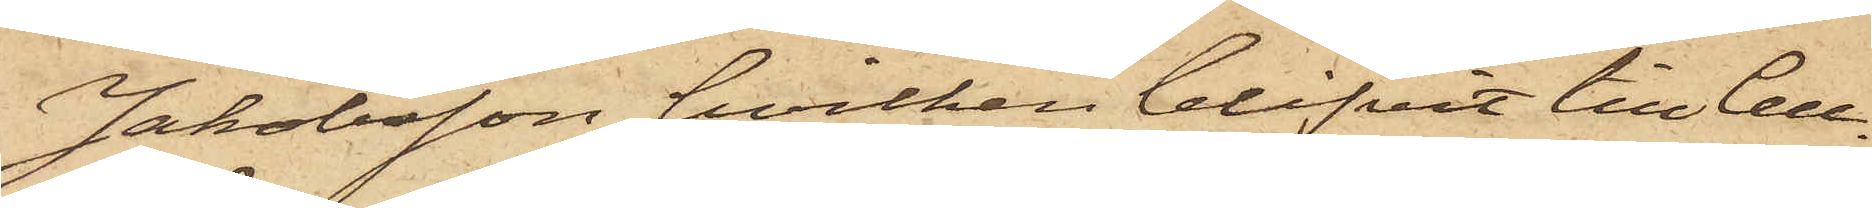Jakobsson, hvilken blifvit till Cell¬
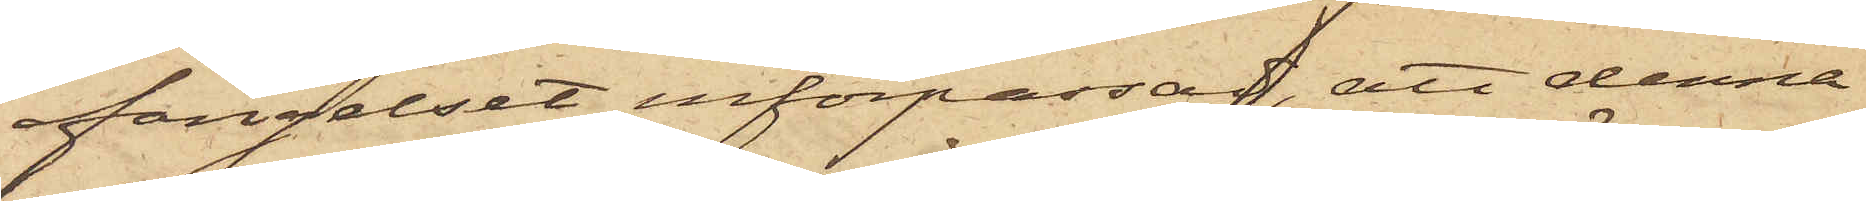fängelset införpassad, att denna
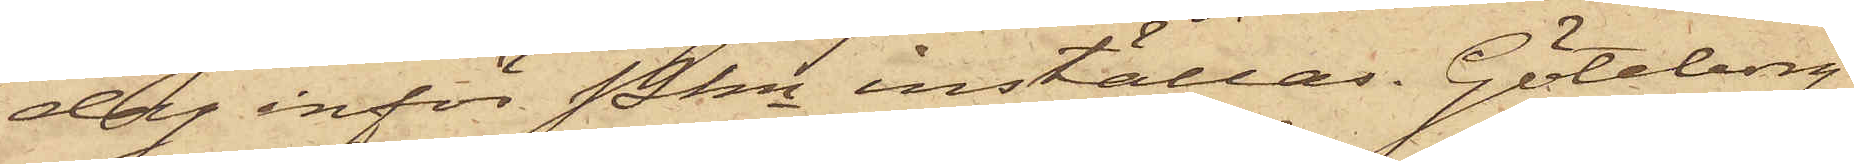dag inför Pkn inställas. Göteborg
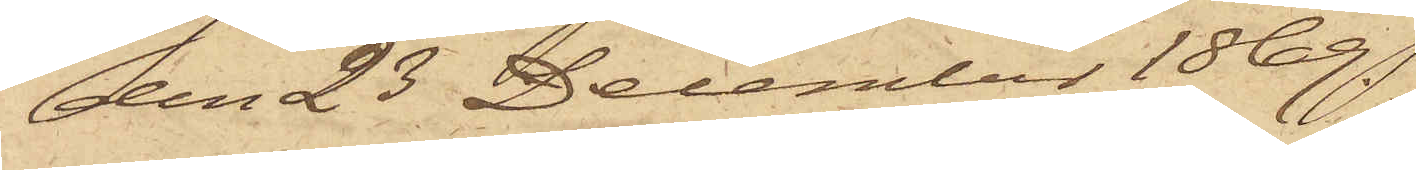den 23 December 1869.
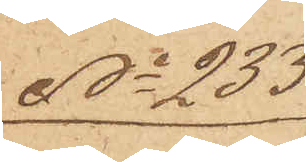No 233
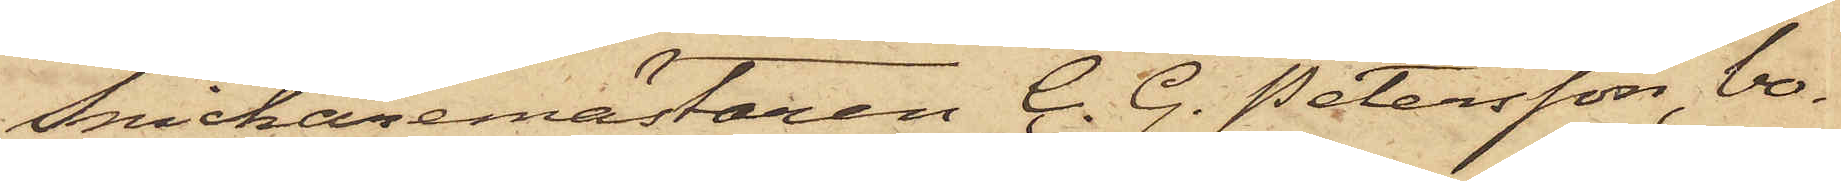Snickaremästaren C. G. Petersson, bo¬
